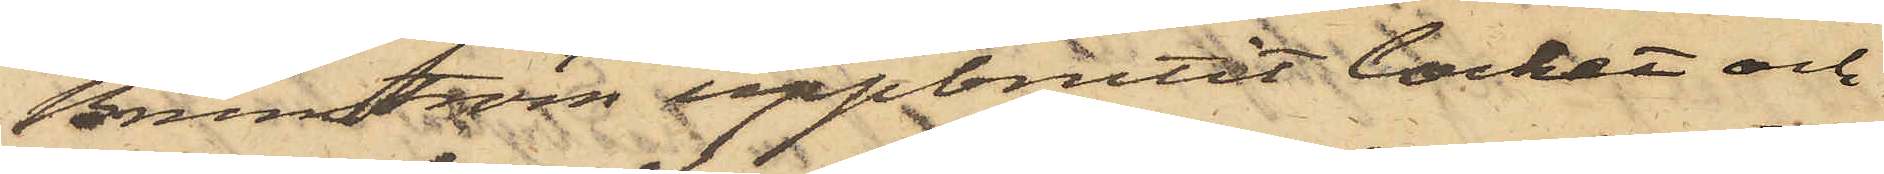Brunström uppbrutit locket och
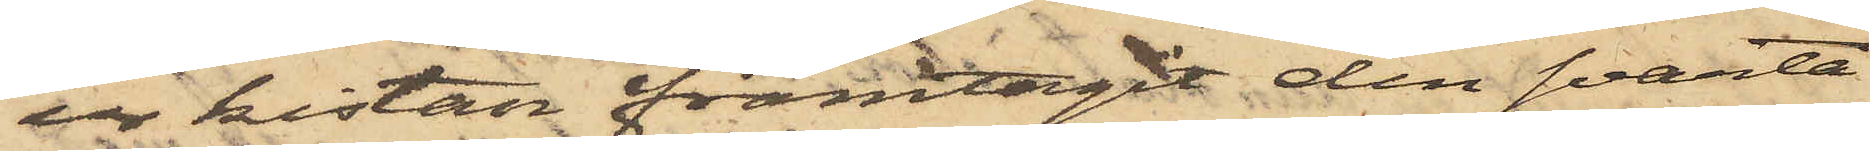ur kistan framtagit den svarta
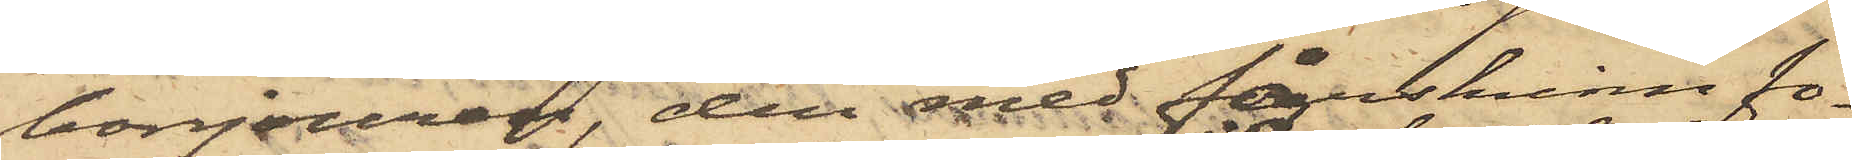bonjouren, den med fårskinn fo¬
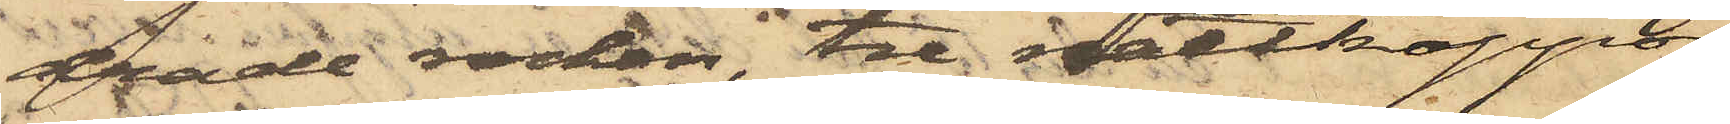drade rocken, tre nattkappor
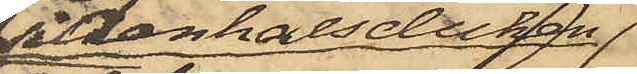sidenhalsduken
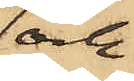och
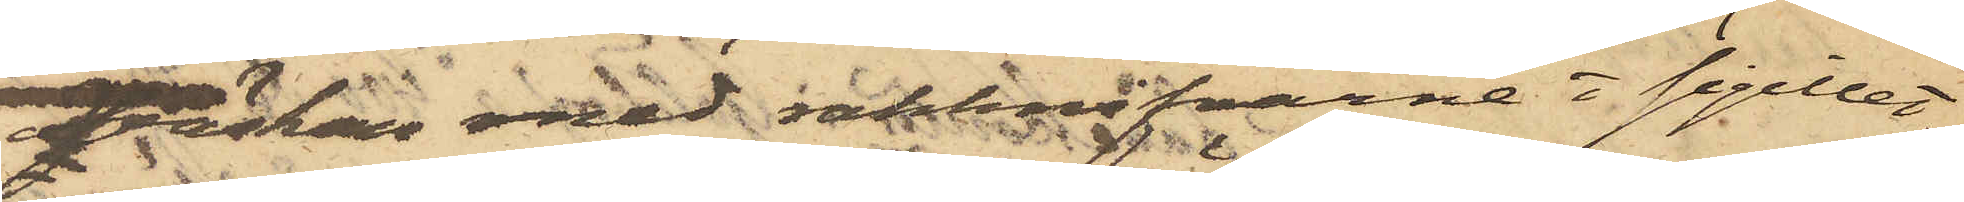väskan med rakknifvarne o sigillet;
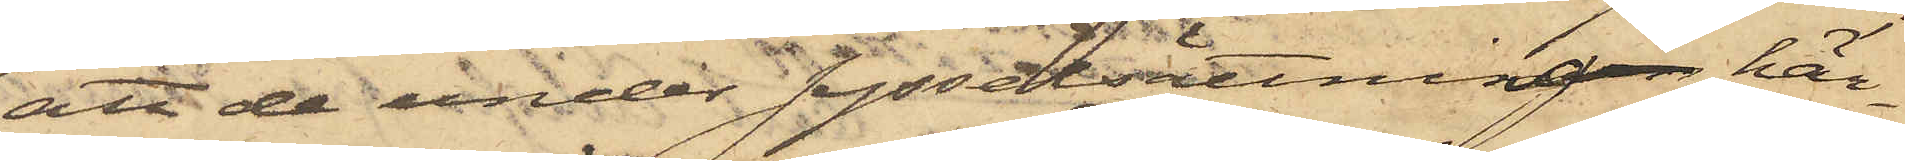att de under sysselsättningen här¬
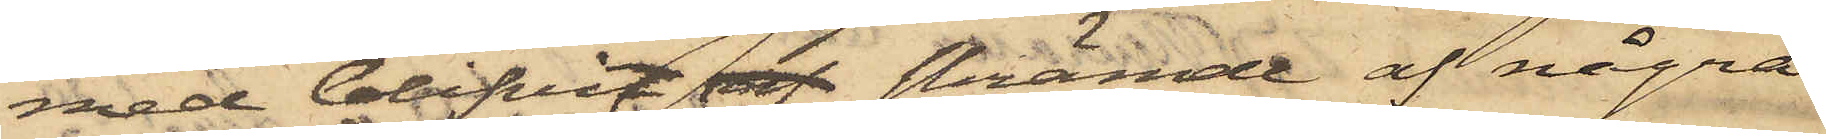med blifvit af skrämde af några
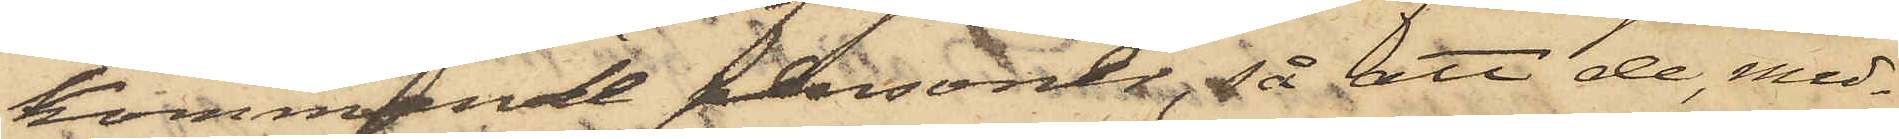kommande personer, så att de med¬
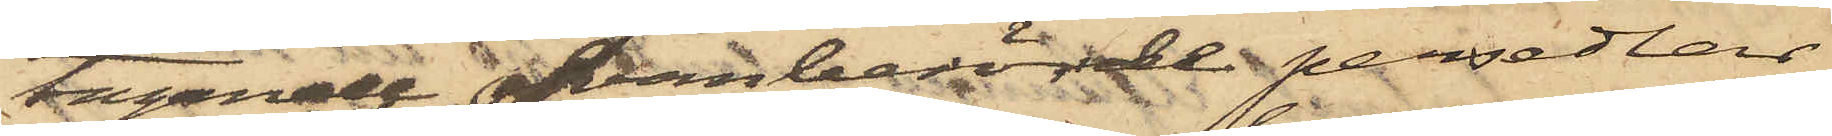tagande ofvanberörde persedlar,
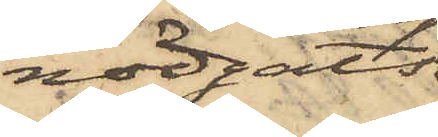nödgats
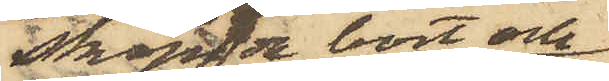skynda bort och
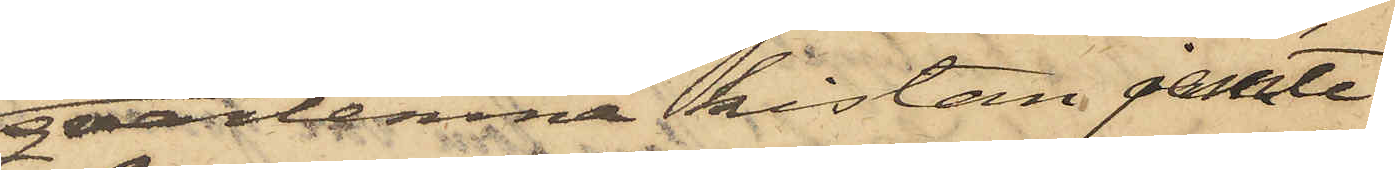qvarlemna kistan jemte
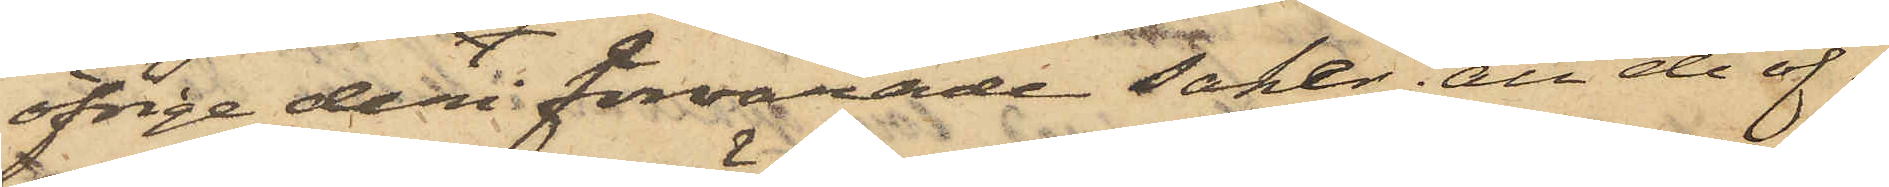öfrige deri förvarade saker, att de öf¬
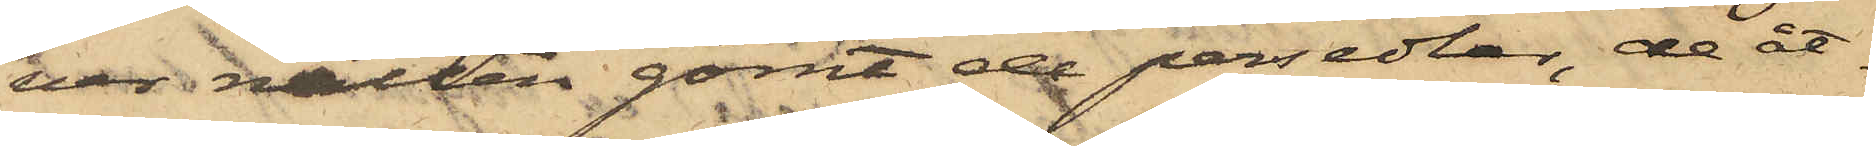ver natten gömt de persedlar, de åt¬
